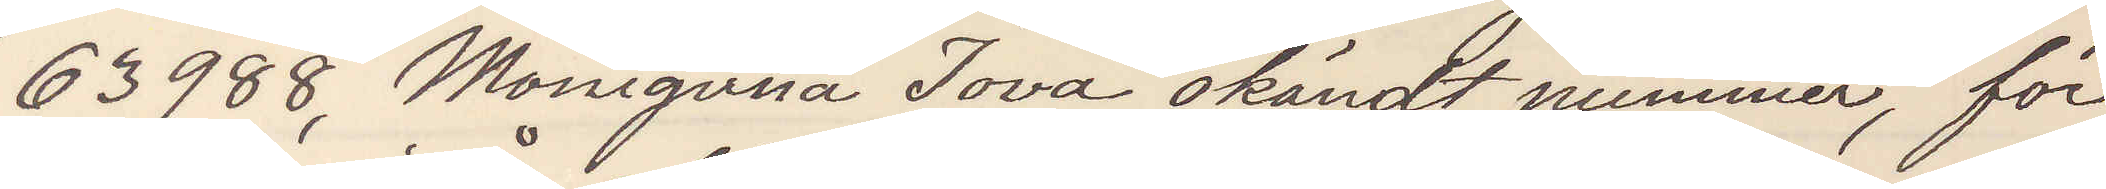63988, Moniguna Iova, okändt nummer, för¬
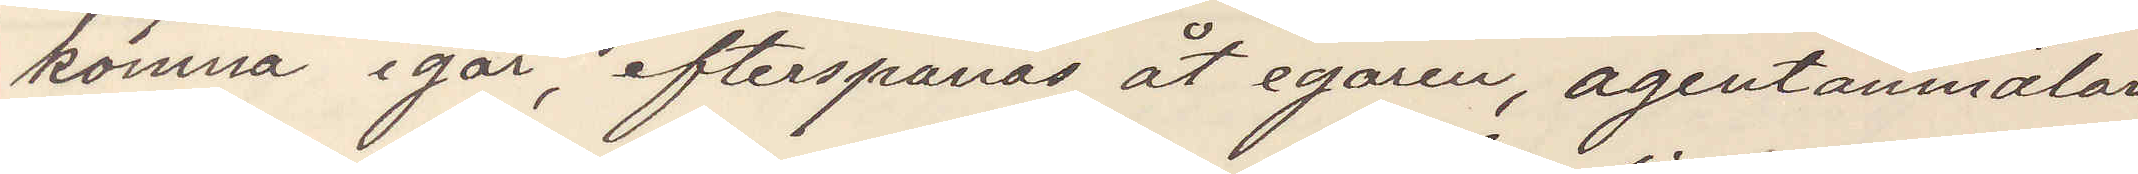komma igår, efterspanas åt egaren, agentanmälan
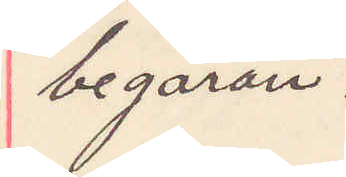begäran.
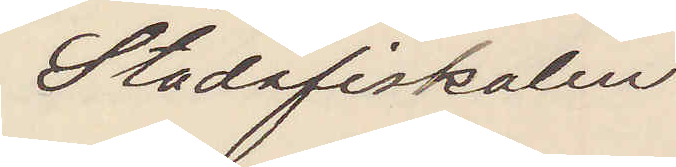Stadsfiskalen
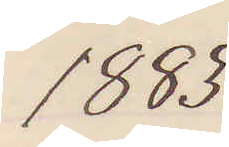1883
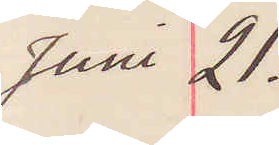Juni 21.
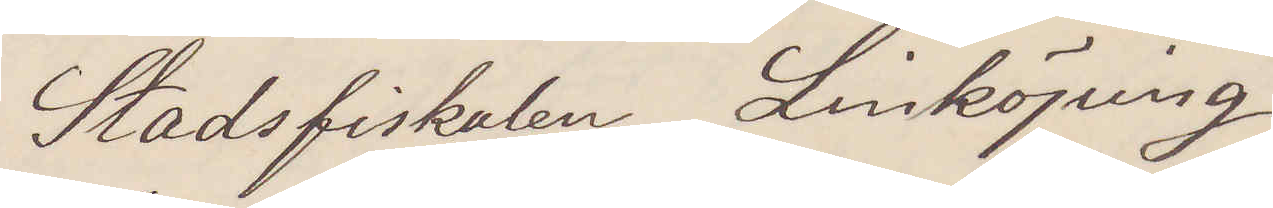Stadsfiskalen Linköping
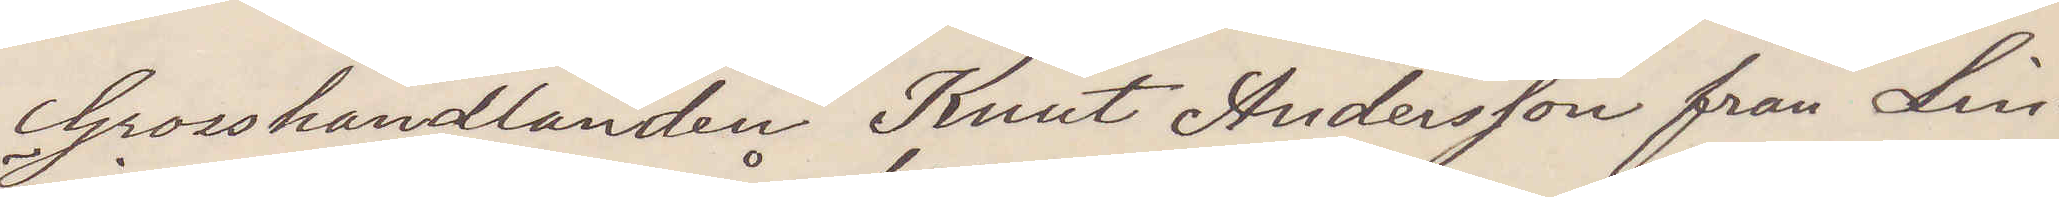Grosshandlanden Knut Andersson från Lin¬
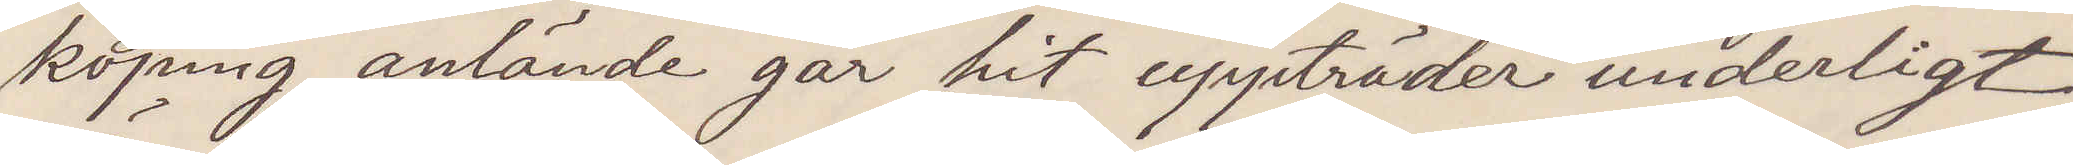köping anlände går hit uppträder underligt
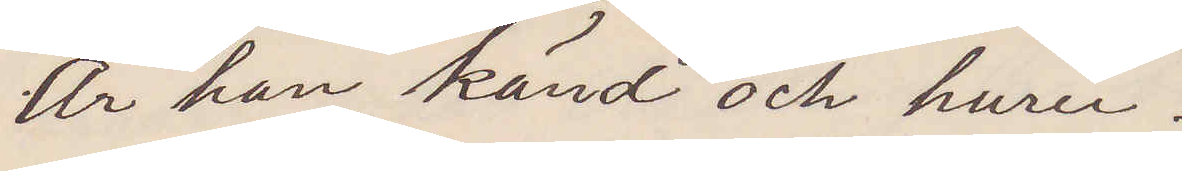Är han känd och huru?
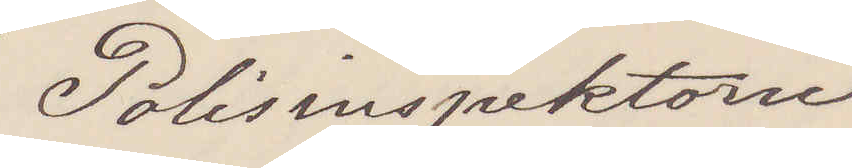Polisinspektorn
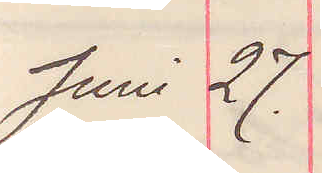Juni 27.
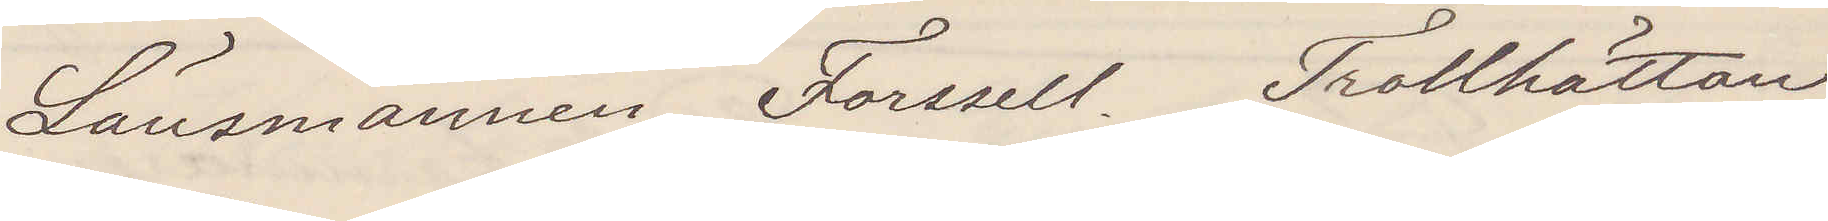Länsmannen Forsell Trollhättan
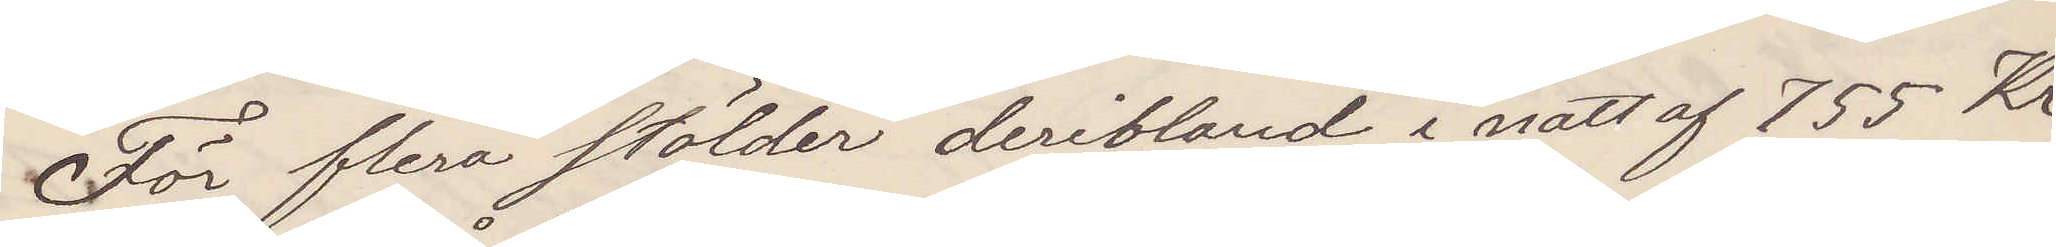För flera stölder deribland i natt 755 Kr
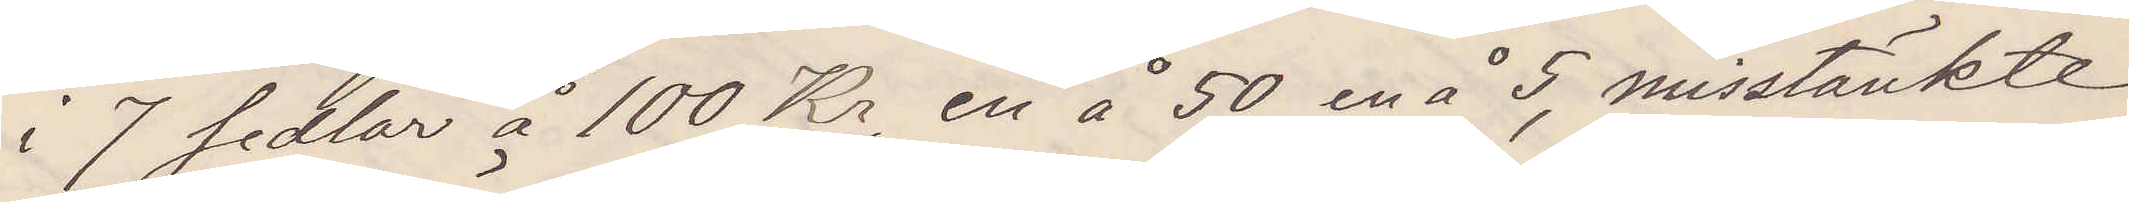i 7 sedlar å 100 Kr, en å 50, en å 5, misstänkte
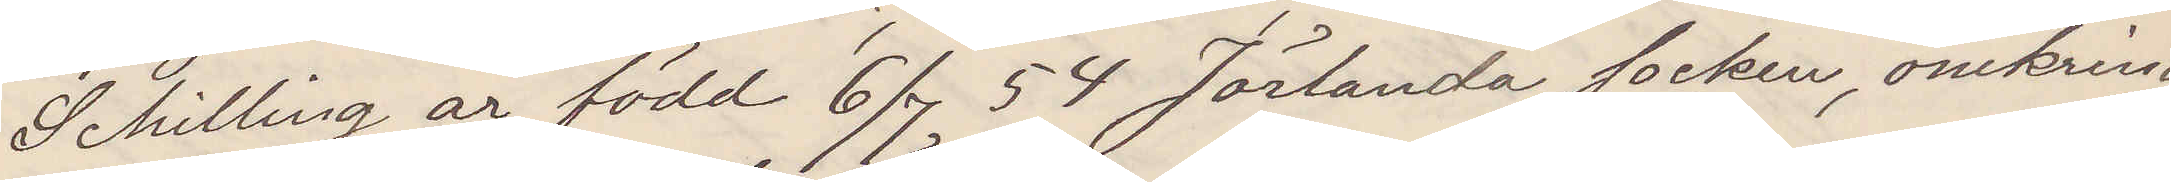Schilling är född 6/7 54 Jörlanda socken, omkring
